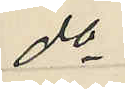do
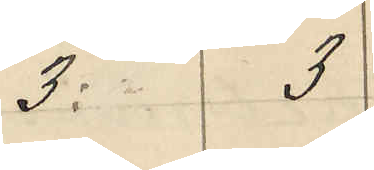3: 3
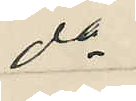do
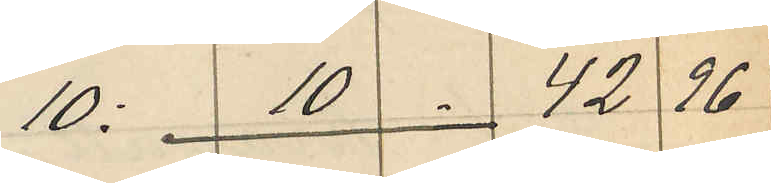10: 10 42 96
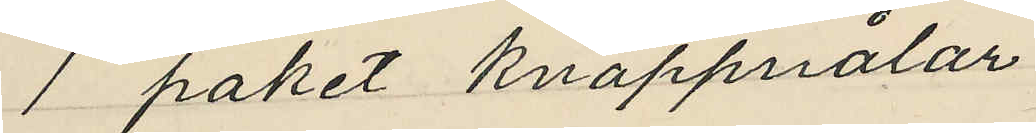1 paket knappnålar
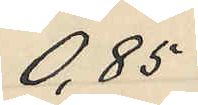0,85
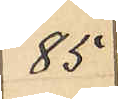85
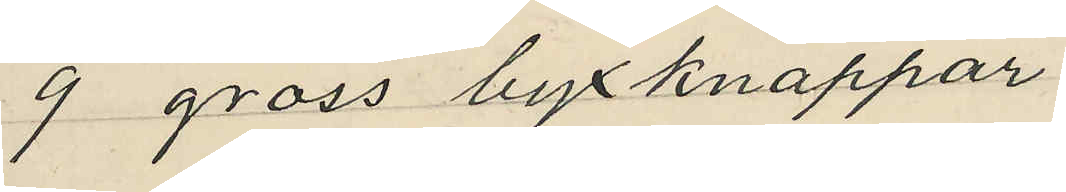9 gross byxknappar
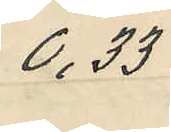0,33
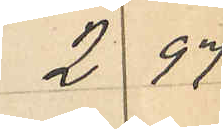2 97
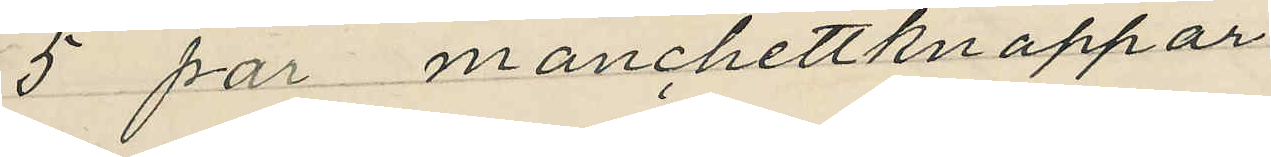5 par manchettknappar
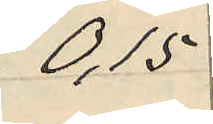0,15
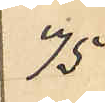75
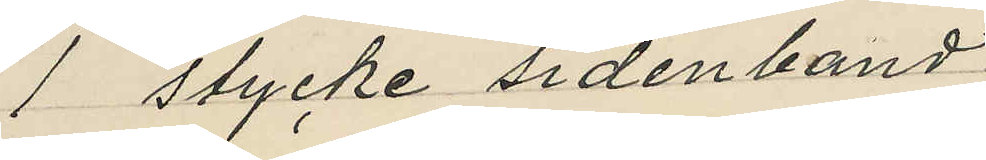1 stycke sidenband
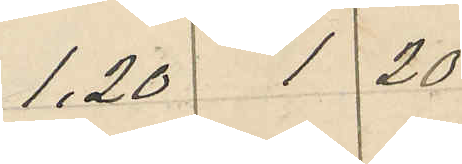1,2 1 20
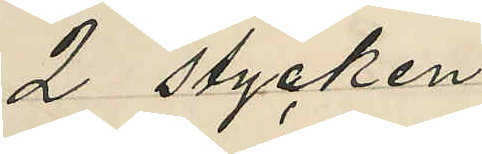2 stycken
